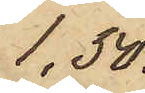1,50.
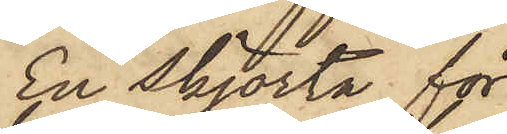En skjorta för
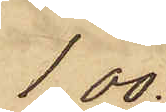1,00.
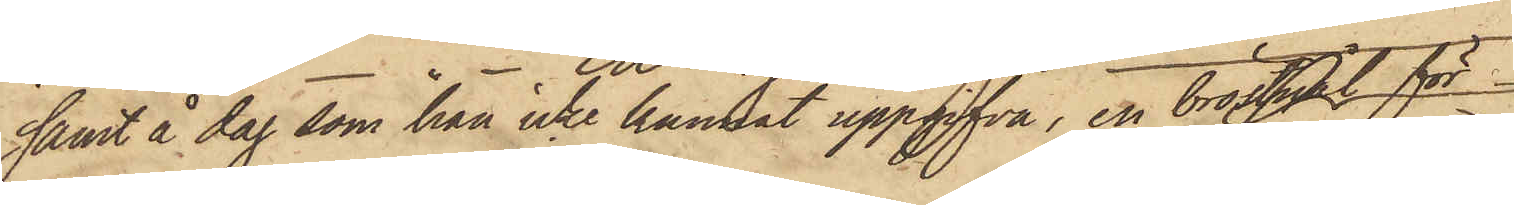samt å dag som han icke kunnat uppgifva, en bröstnål för
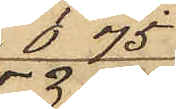0.75
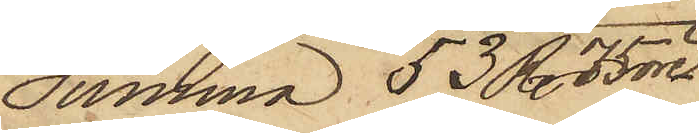Summa 53 R. 75 öre
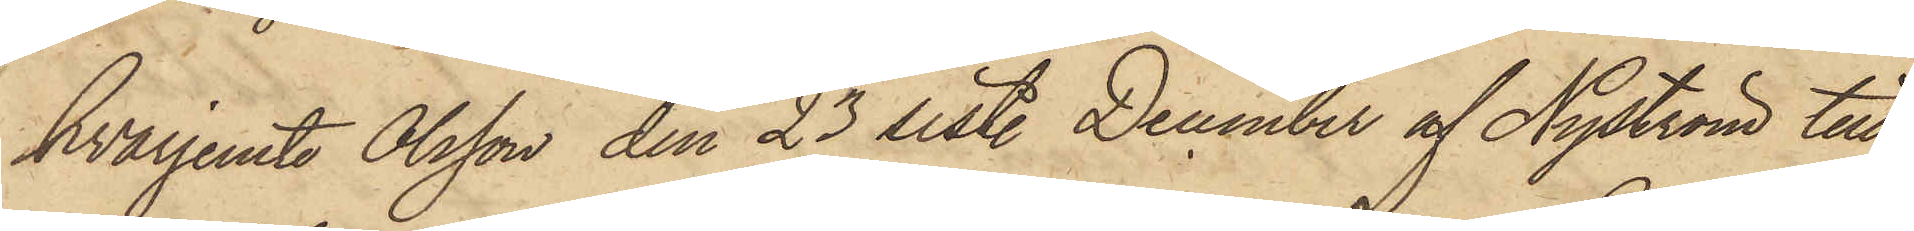hvarjemte Olsson den 23 sist. December af Nyström till
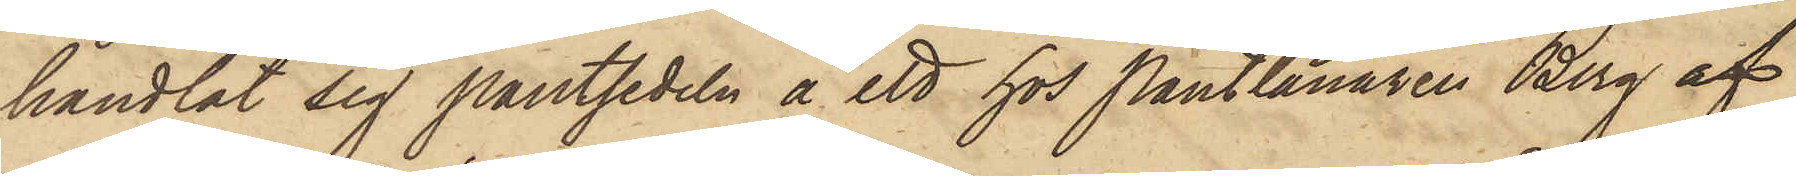handlat sig pantsedeln å ett hos Pantlånaren Berg af
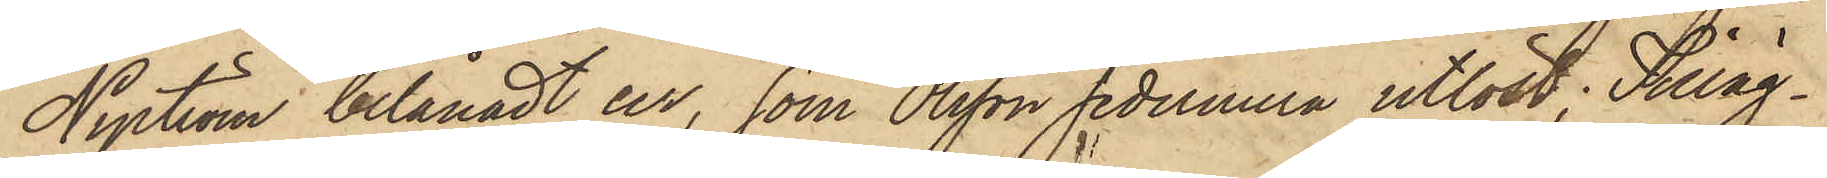Nyström belånadt ur, som Olsson sedermera utlöst. Tilläg¬
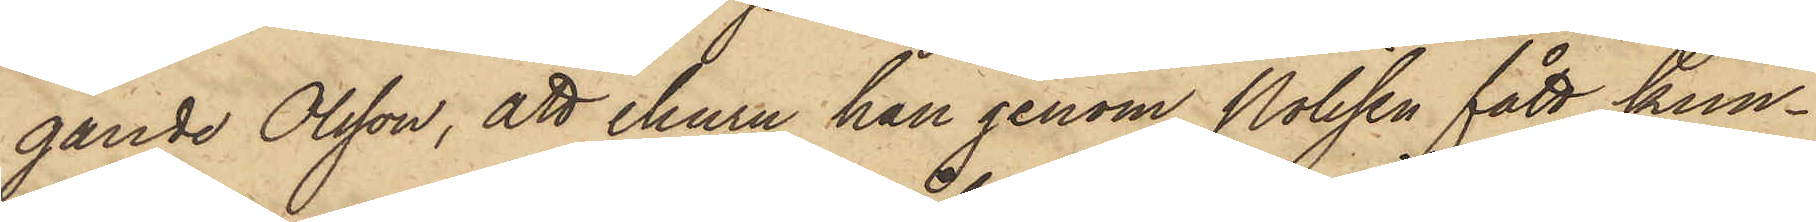gande Olsson, att ehuru han genom Polisen fått kun¬
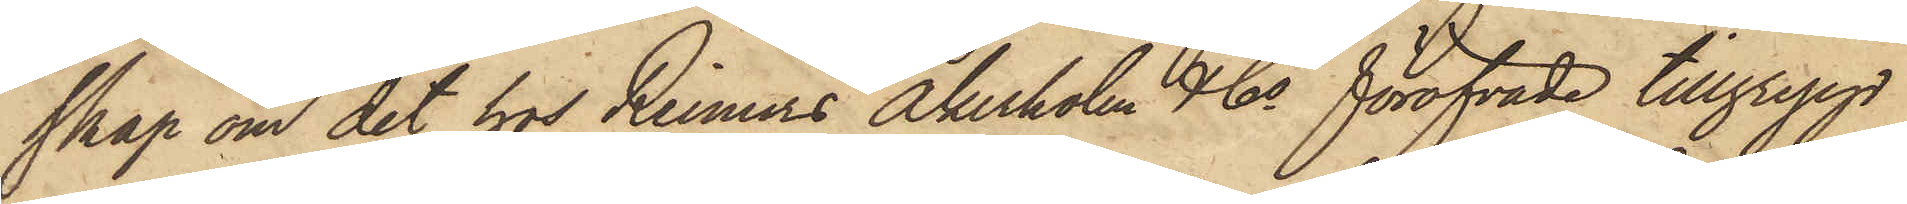skap om det hos Reimers Åkerholm & Co föröfvade tillgrepp
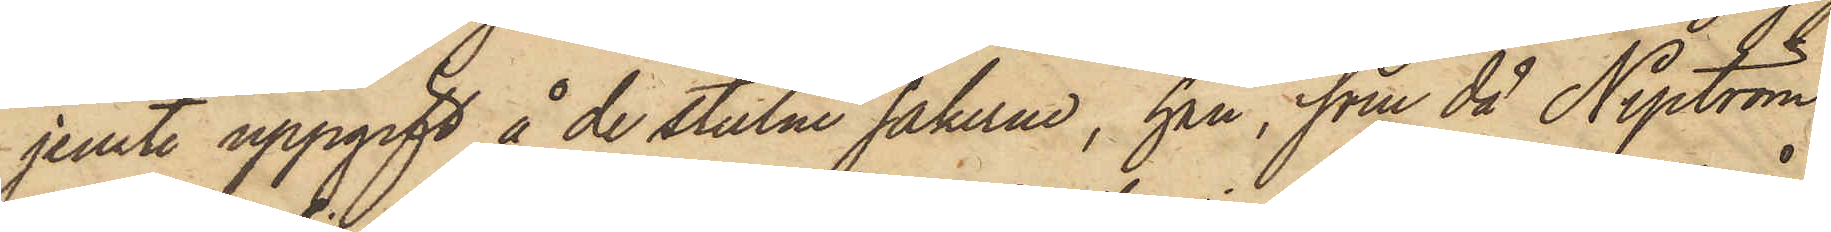jemte uppgift å de stulne sakerne, han, som då Nyström
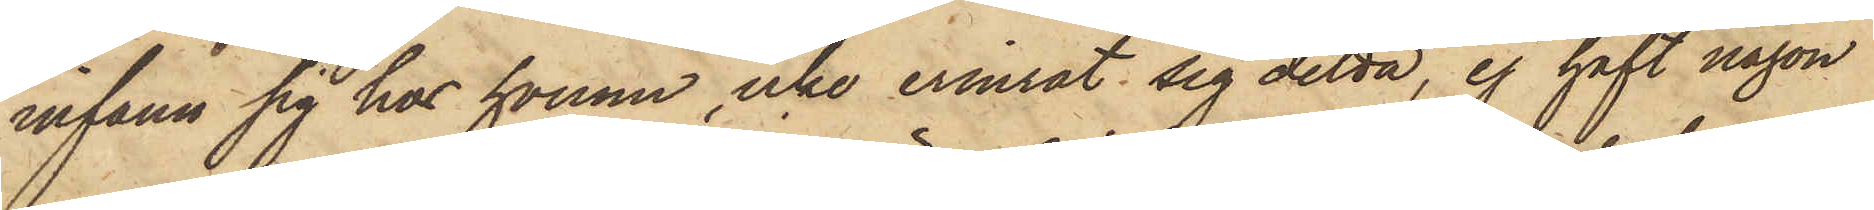infann sig hos honom, icke erinrat sig detta, ej haft någon
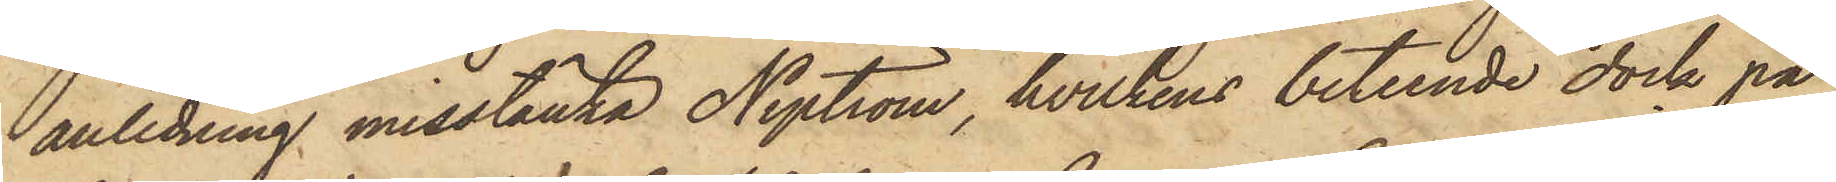anledning misstänka Nyström, hvilkens beteende dock på
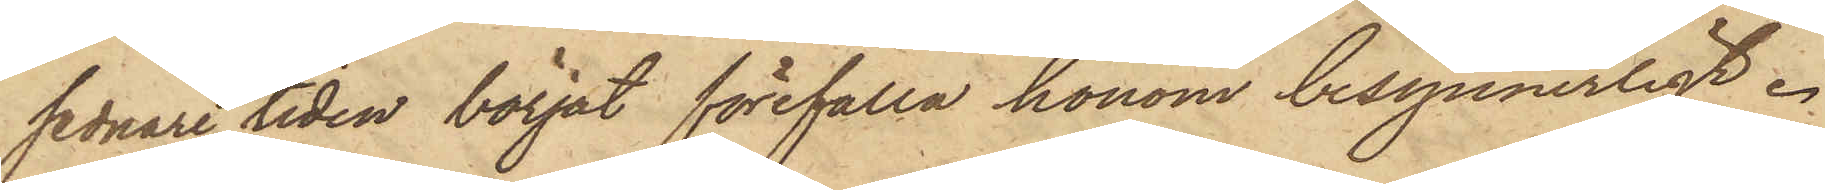sednare tiden börjat förefalla honom besynnerligt.
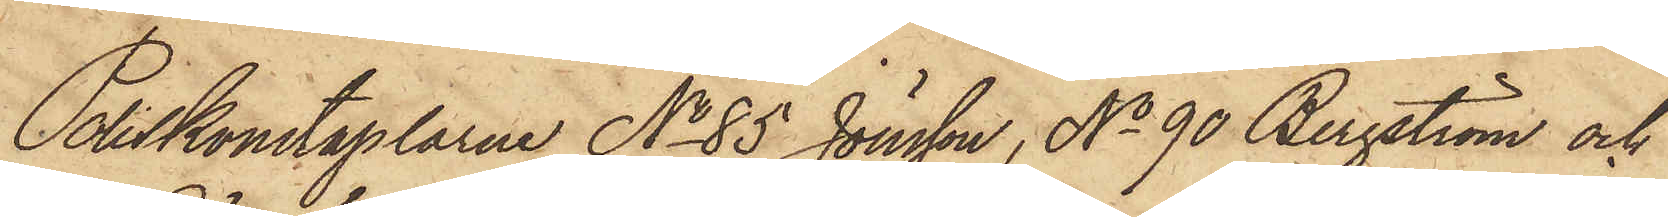Poliskonstaplarne No 85 Jönsson, No 90 Bergström och
